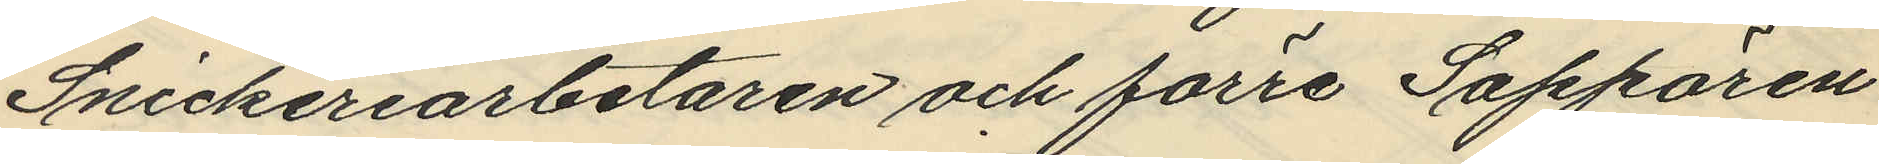Snickeriarbetaren och förre Sappören
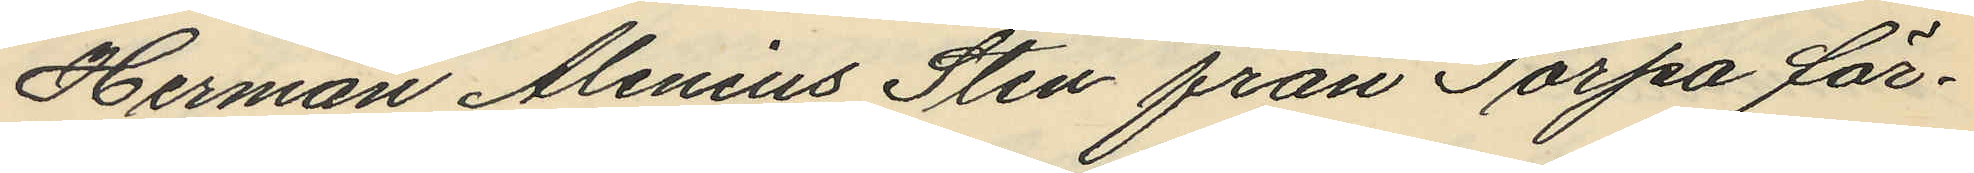Herman Alenius Sten från Torpa för¬
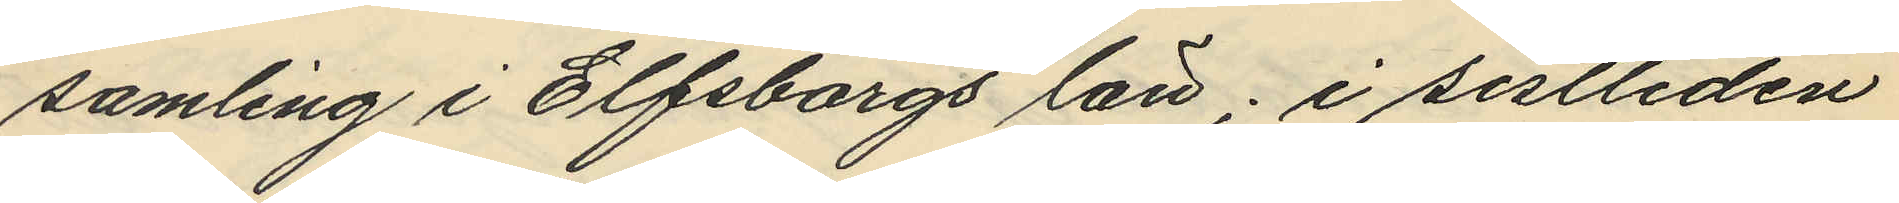samling i Elfsborgs län; i sistliden
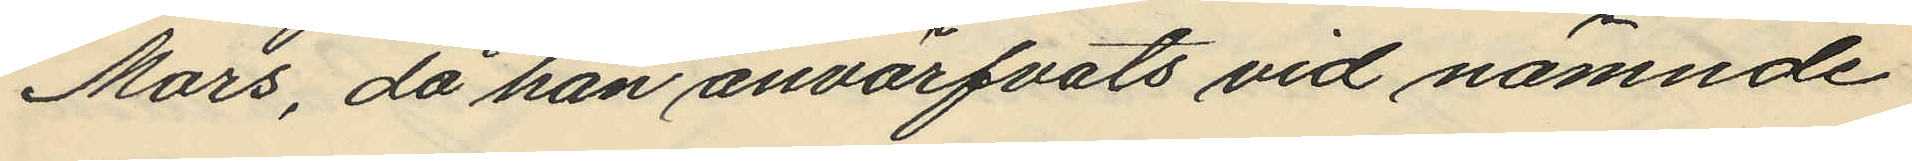Mars, då han anvärfvats vid nämnde
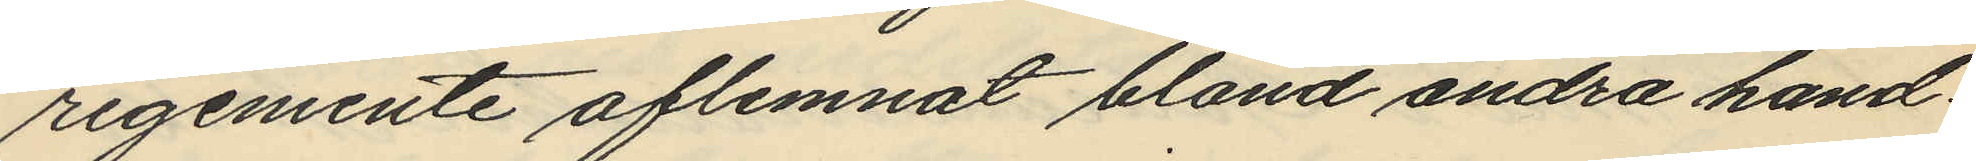regemente aflemnat bland andra hand¬
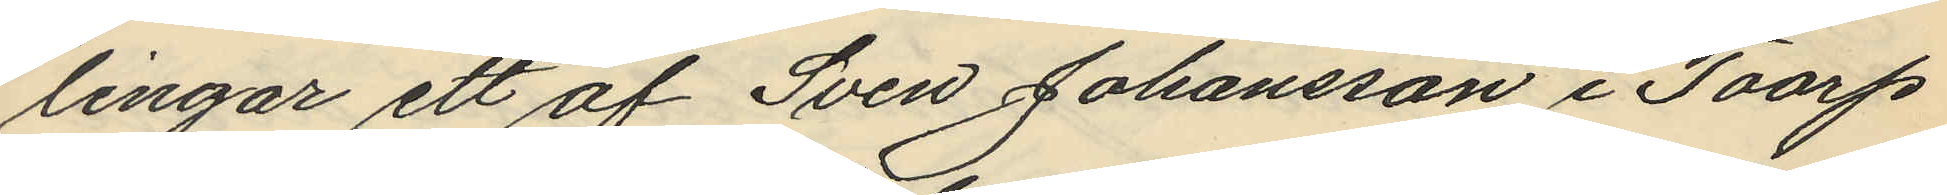lingar ett af Sven Johansson i Toarp
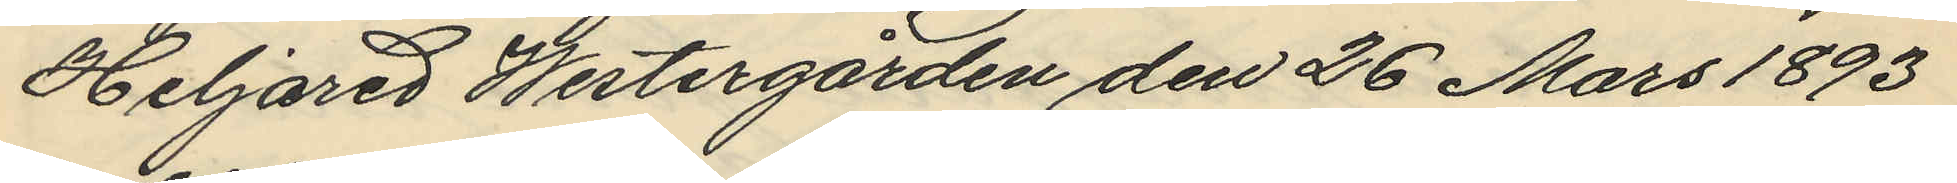Heljared Westergården den 26 Mars 1893
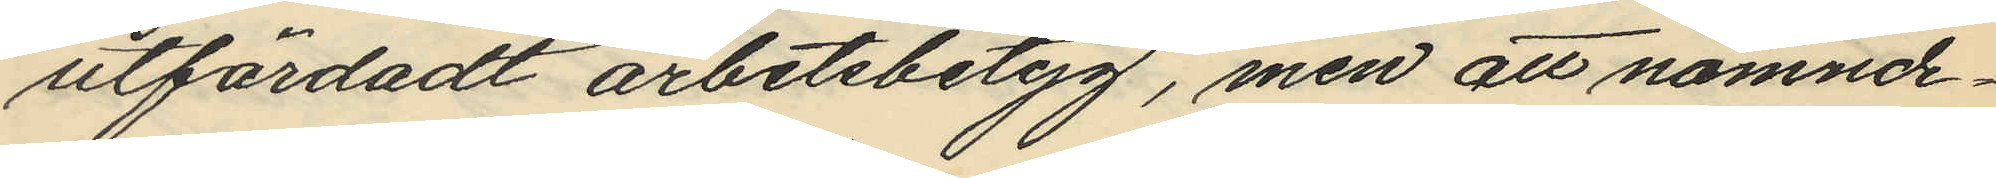utfärdadt arbetsbetyg, men att nämnde¬
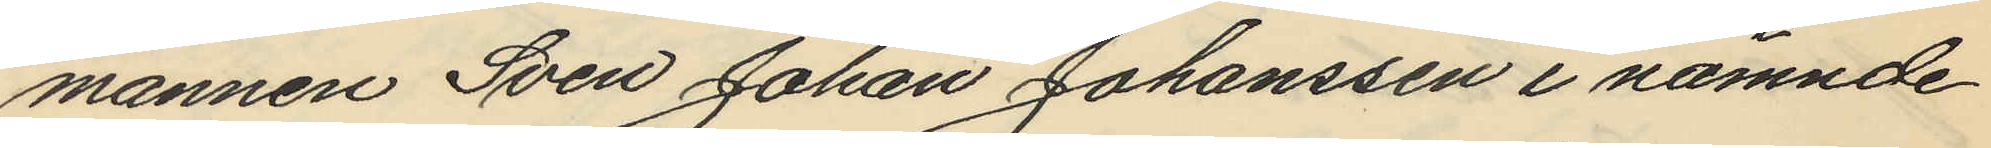mannen Sven Johan Johanssen i nämnde
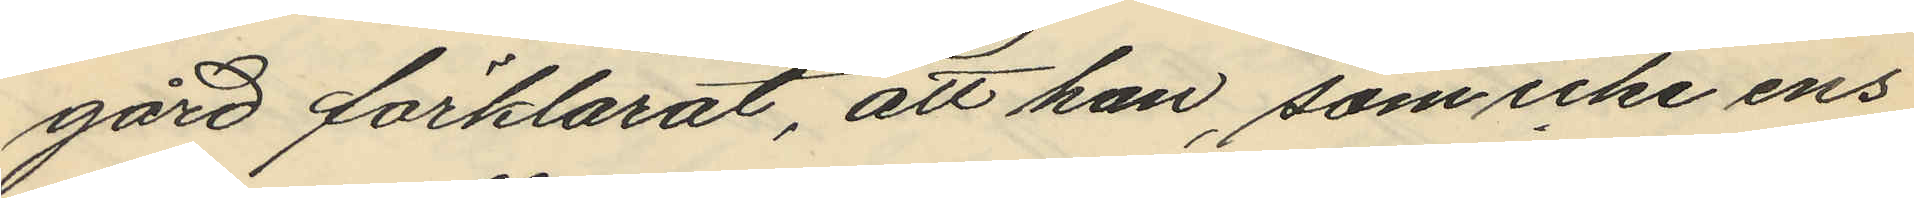gård förklarat, att han, som icke ens
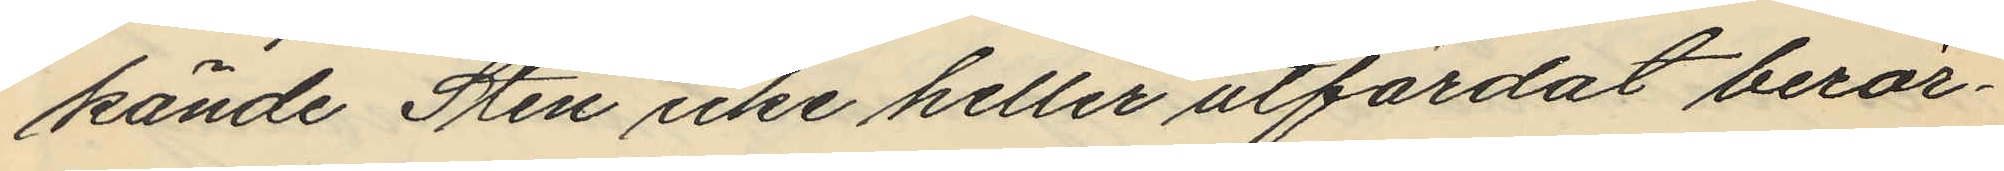kände Sten icke heller utfärdat berör¬
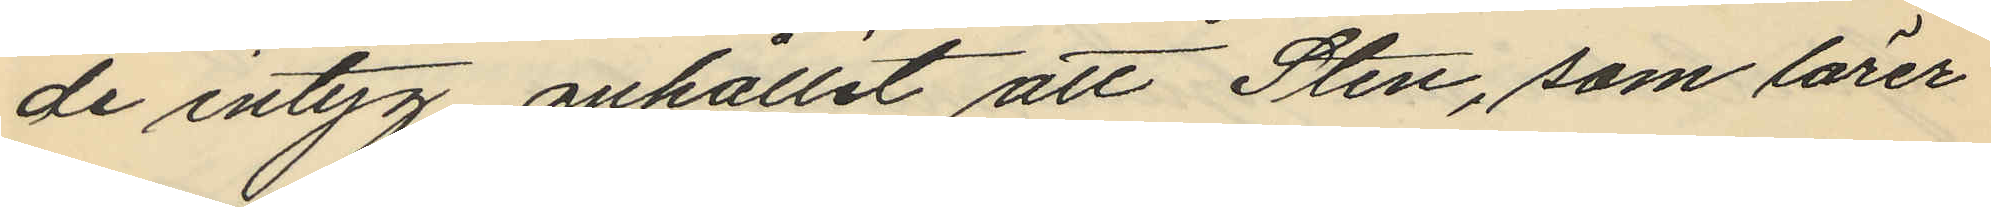de intyg, anhållit att Sten, som lärer
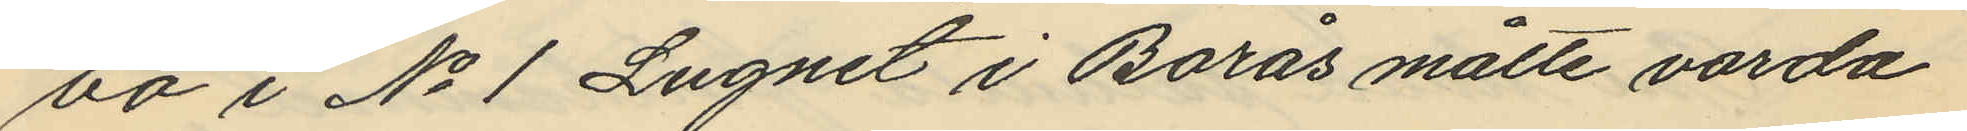bo i No 1 Lugnet i Borås måtte varda
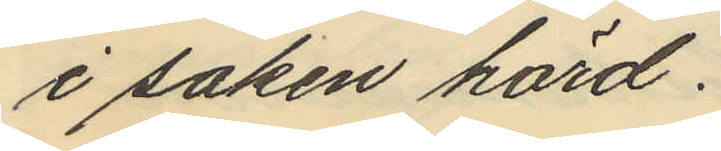i saken hörd.
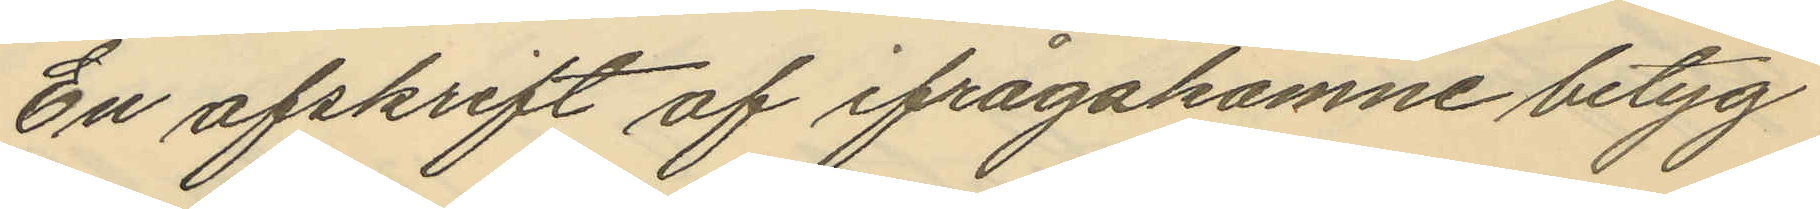En afskrift af ifrågakomne betyg
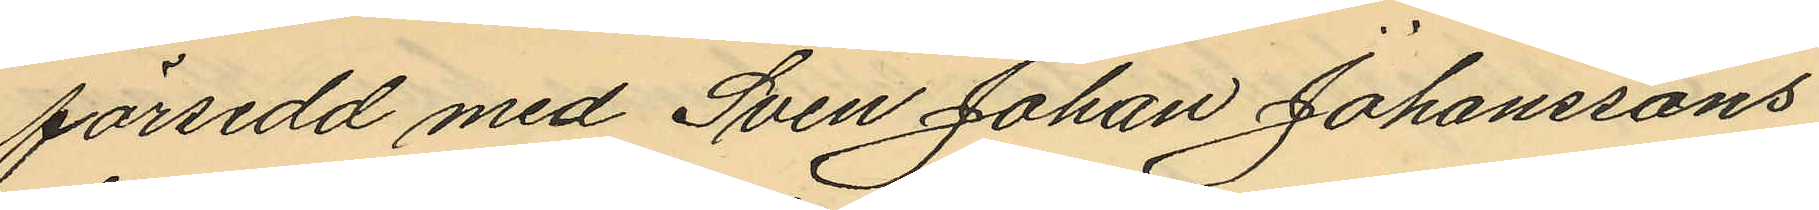försedd med Sven Johan Johanssons
